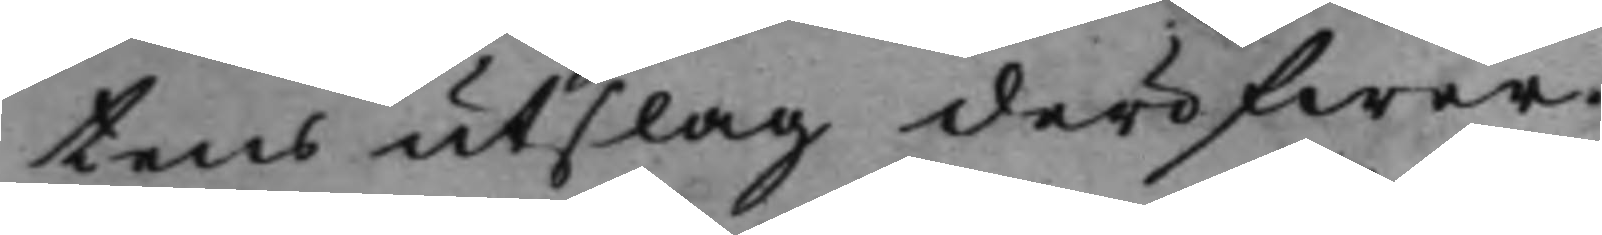tens utslag deröfwer.
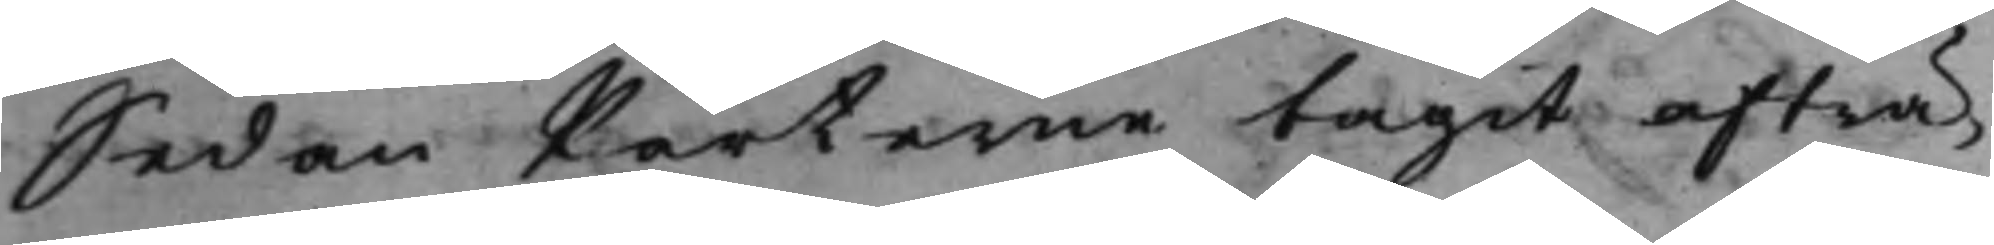Sedan Parterne tagit afträ¬
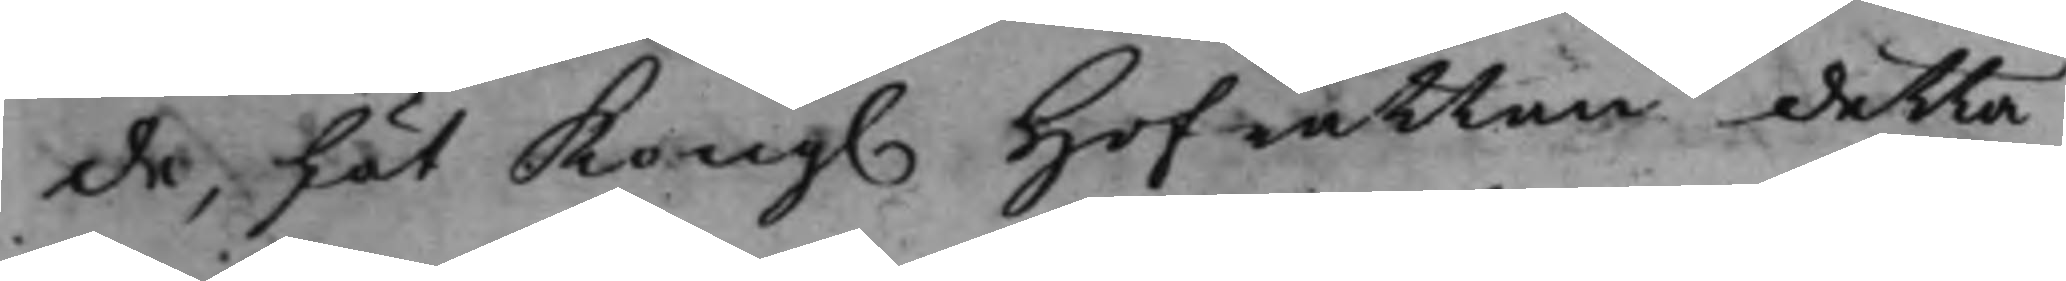de, Lät Kong. Hofrätten detta
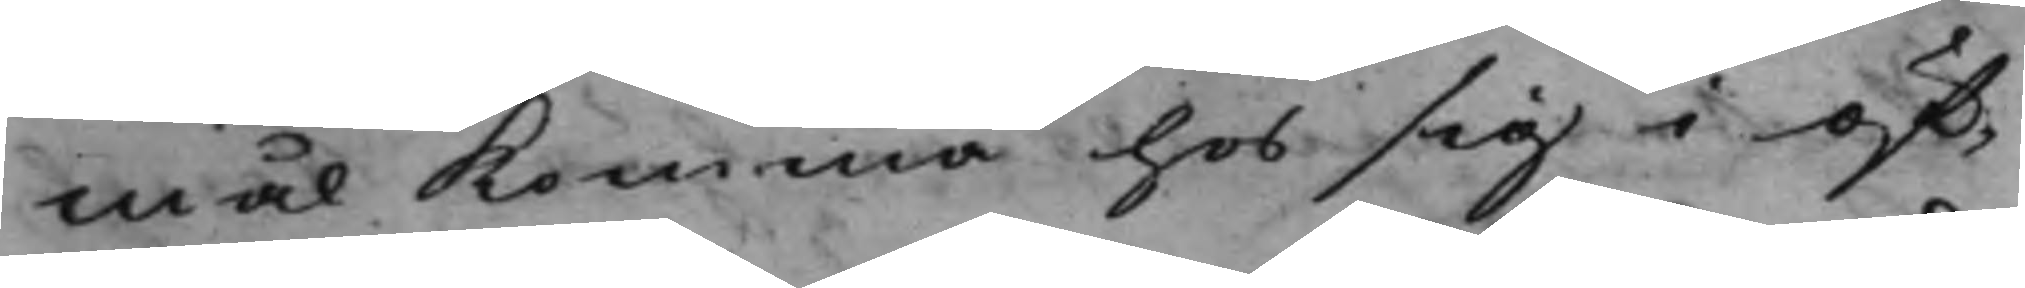mål komma hos sig i öf¬
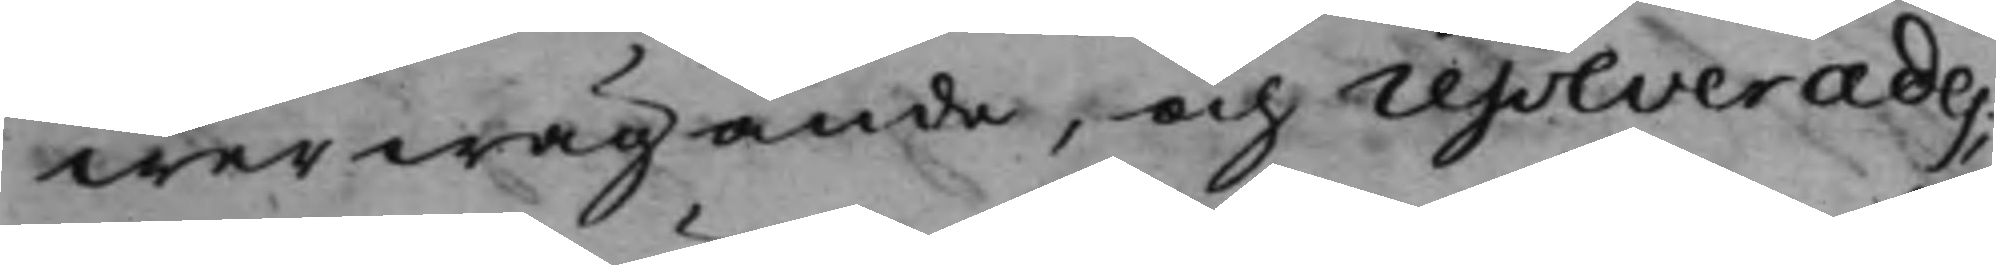werwägande, och resolverades,
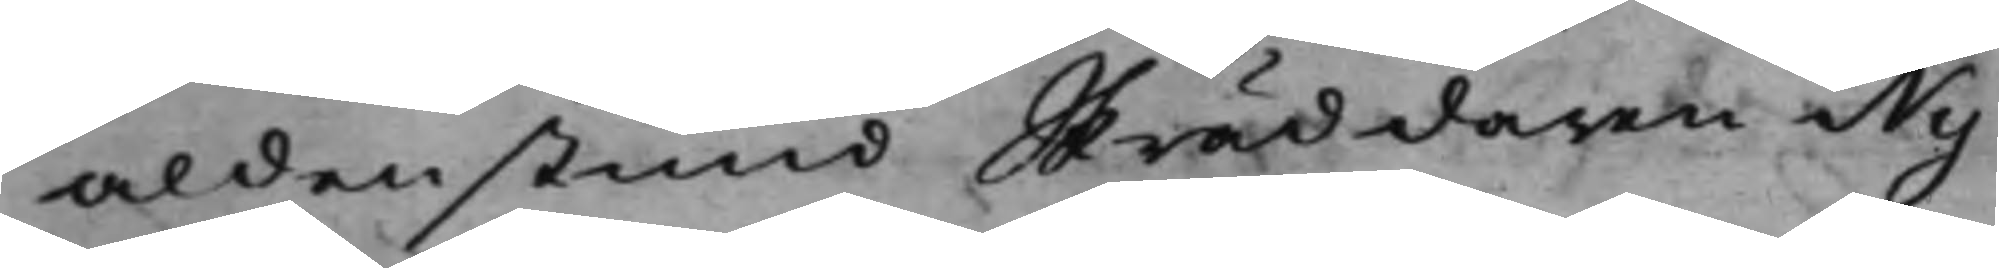aldenstund Skräddaren Ny¬
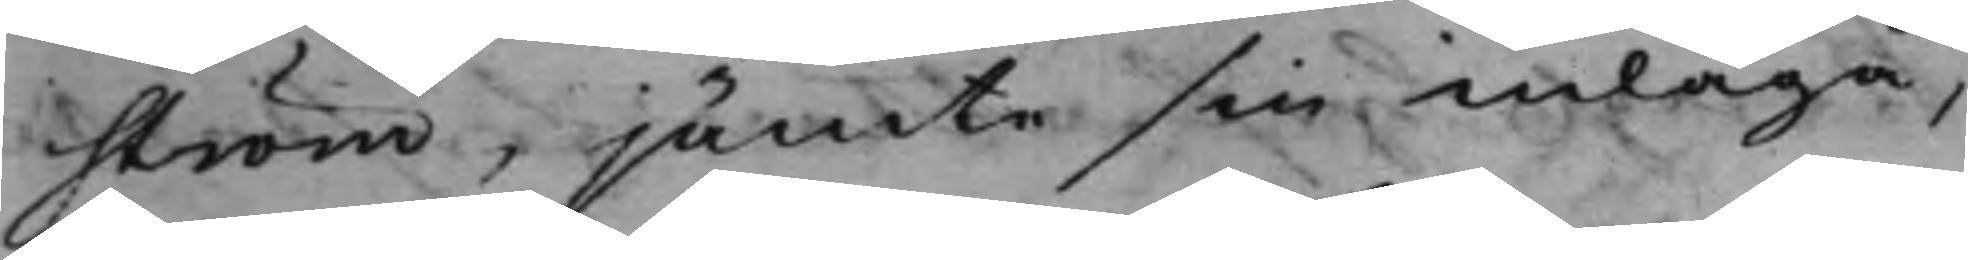ström, jämte sin inlaga,
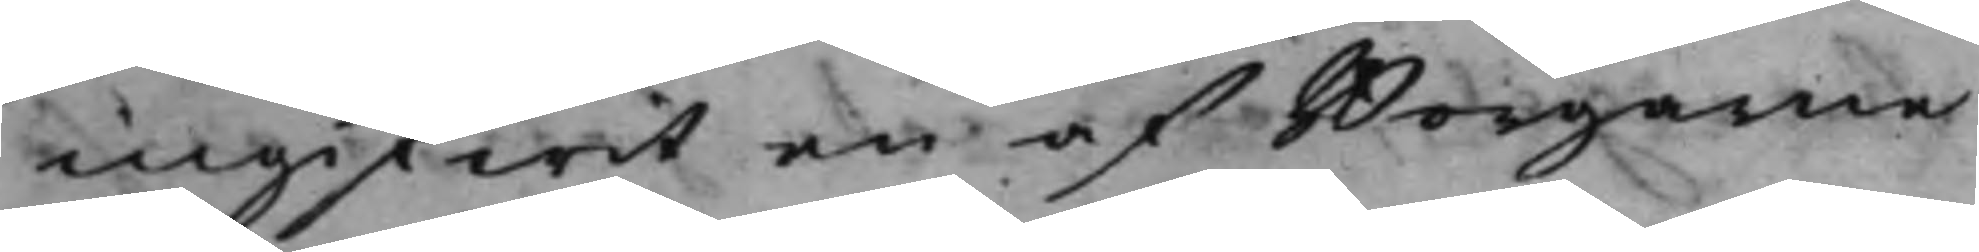ingifwit en af Borgarne
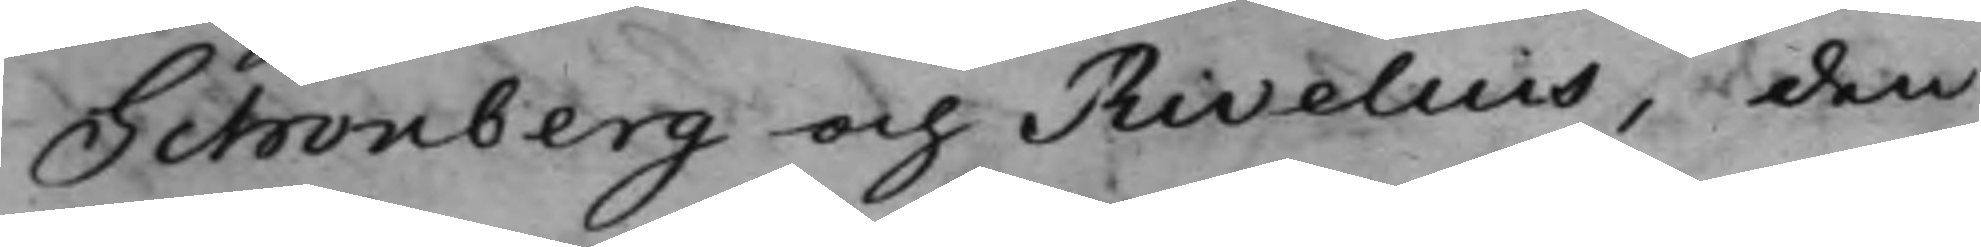Schönberg och Rivelius, den
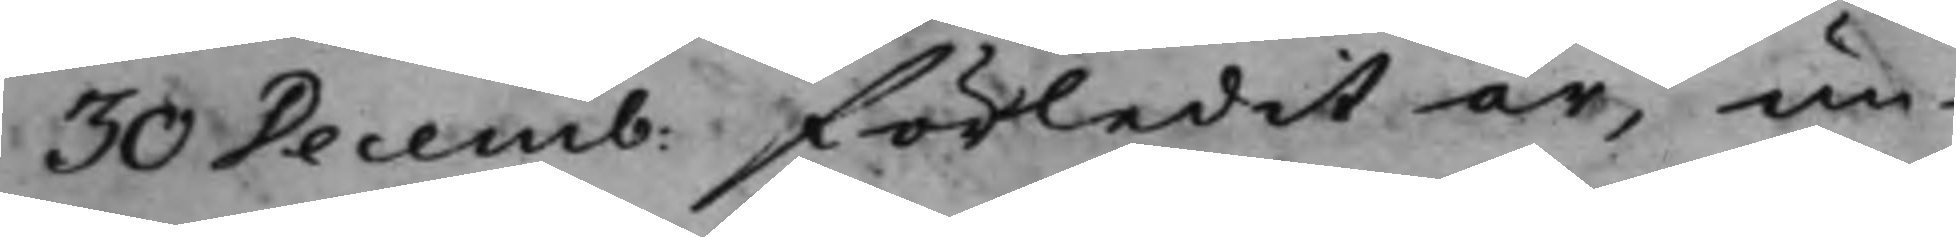30 Decemb: förledit år, un¬
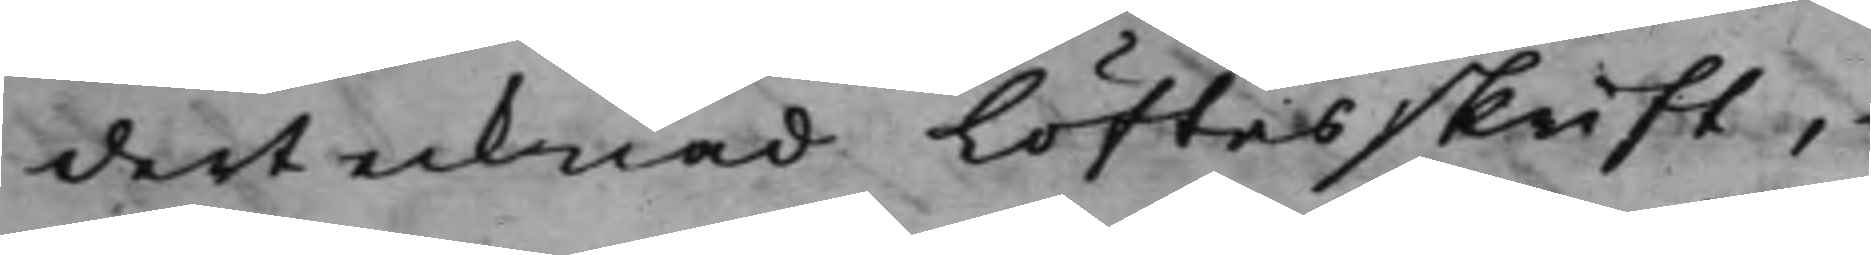dertecknad Löftesskrift,
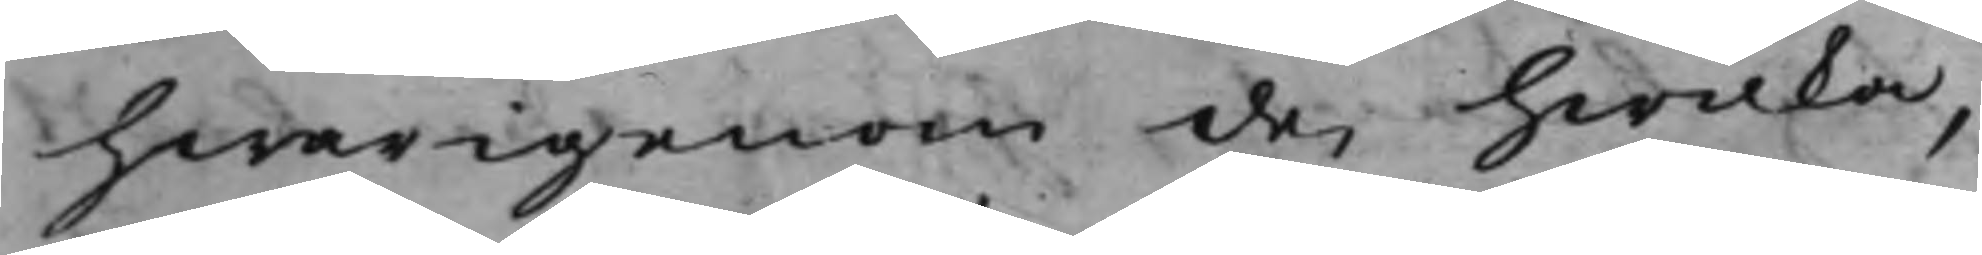hwarigenom de, hwilka,
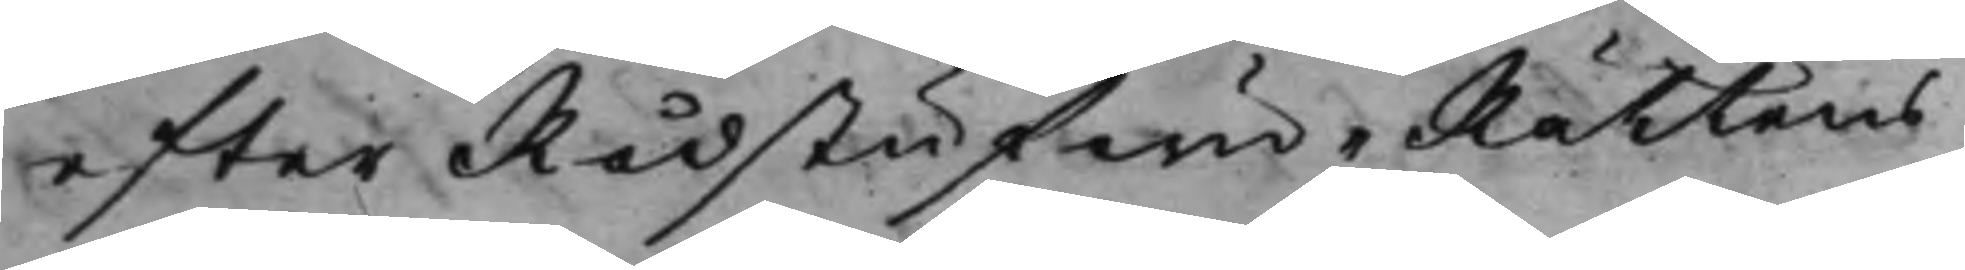efter RådstufwuRättens
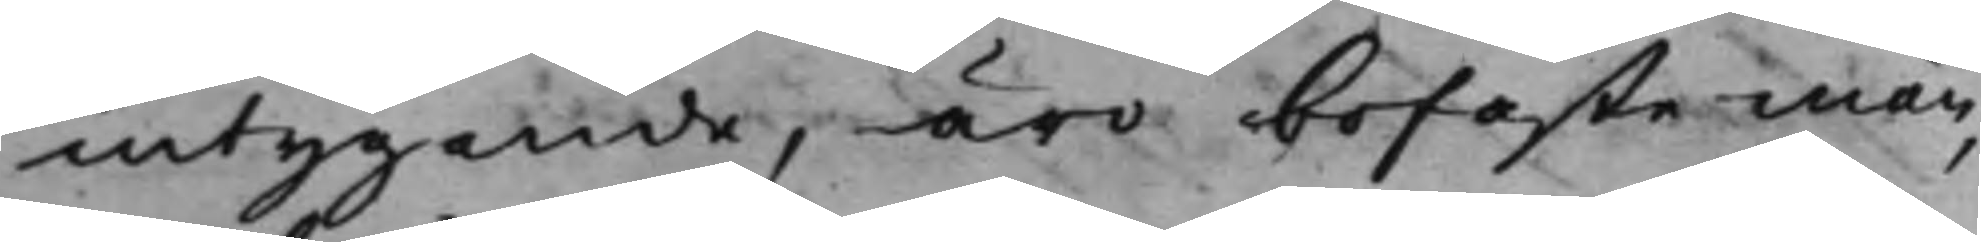intygande, äro bofaste män,
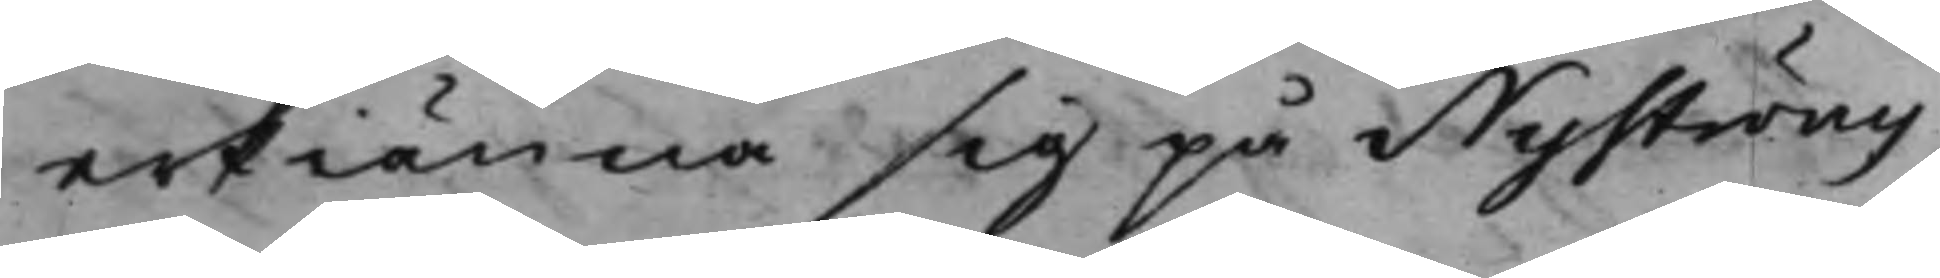erkiänna sig på Nyströms
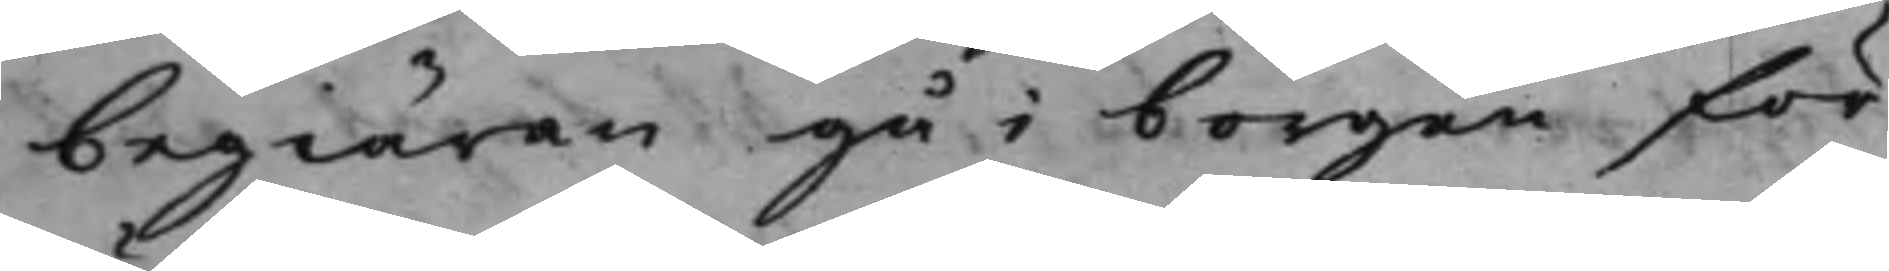begiäran gå i borgen för
